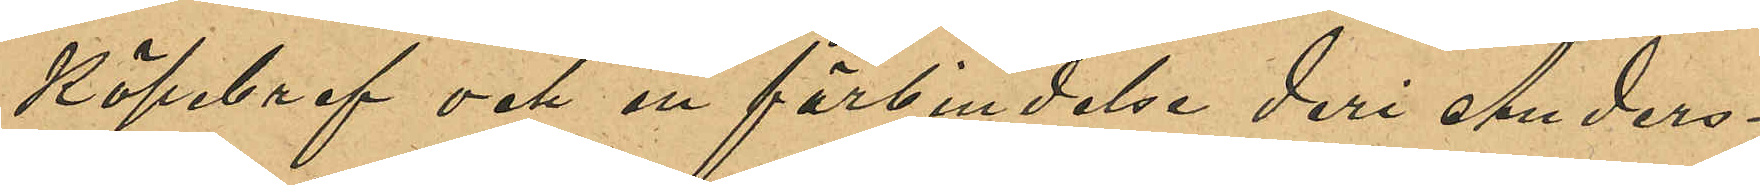köpebref och en förbindelse deri Anders¬
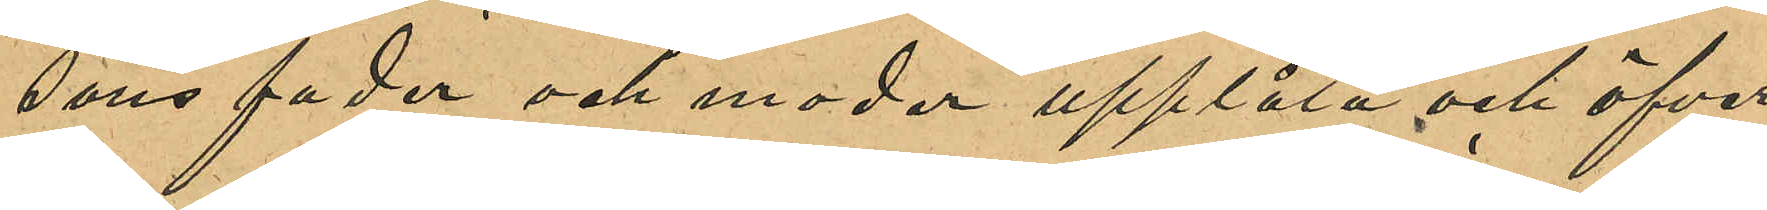sons fader och andra upplåta och öfver¬
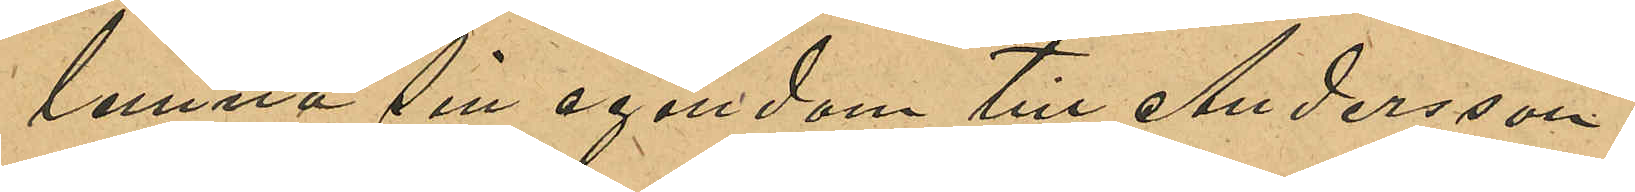lemna sin egendom till Andersson.
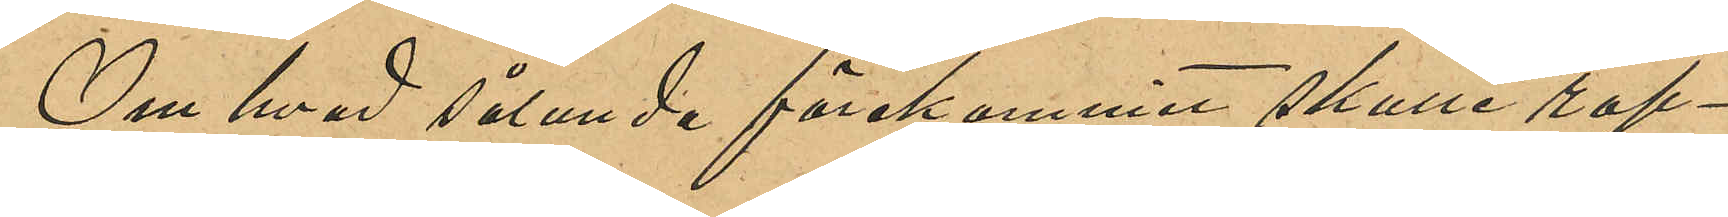Om hvad sålunda förekommit skulle rap¬
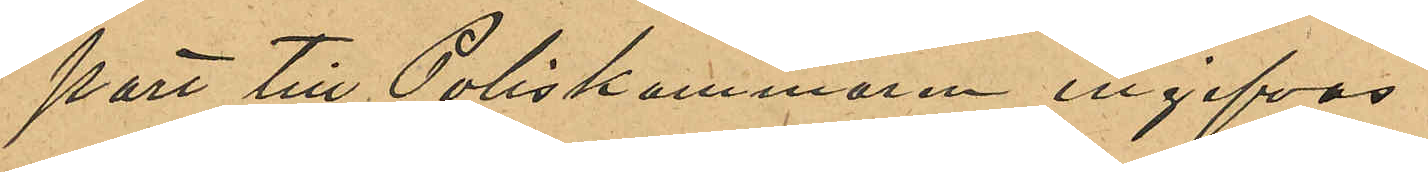port till Poliskammaren ingifvas.
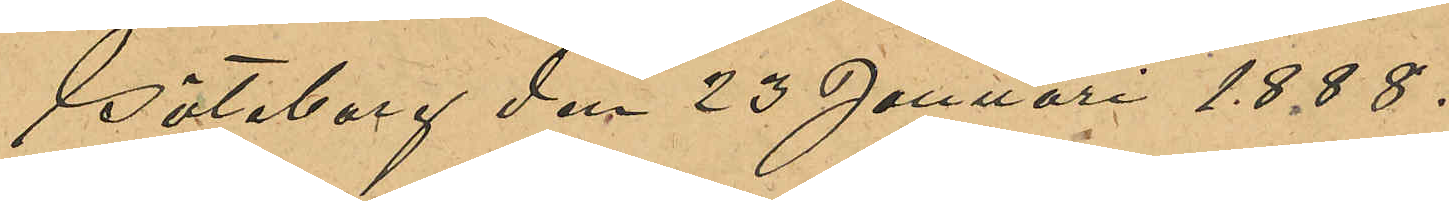Göteborg den 23 Januari 1888.
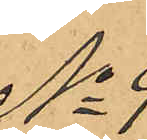No 9
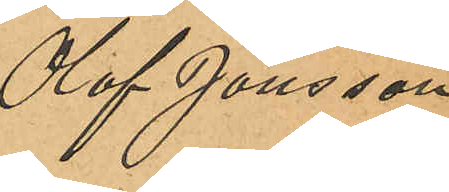Olof Jönsson
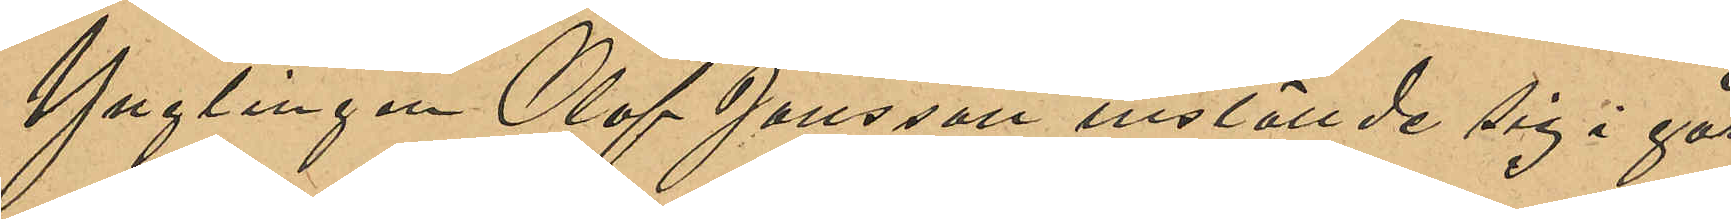Ynglingen Olof Jönsson inställde sig i går
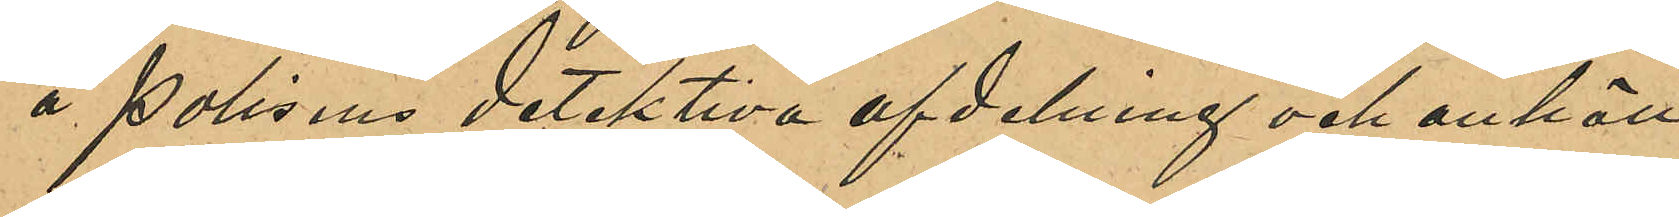å polisens detektiva afdelning och anhöll
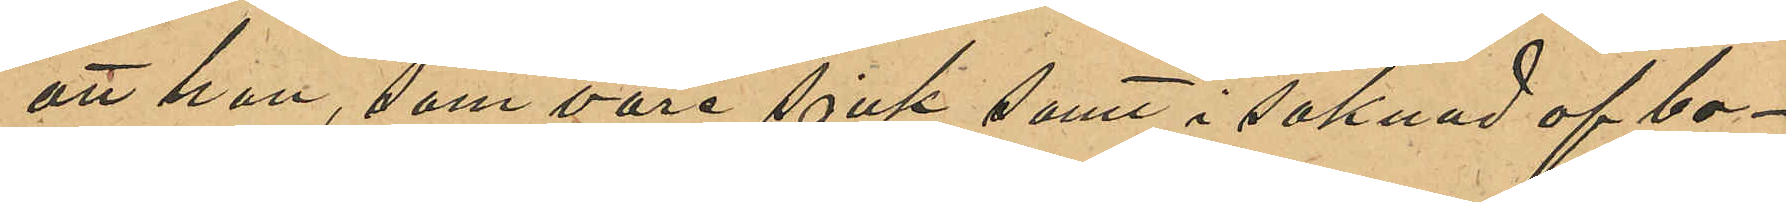att han, som vore sjuk samt i saknad af bo¬
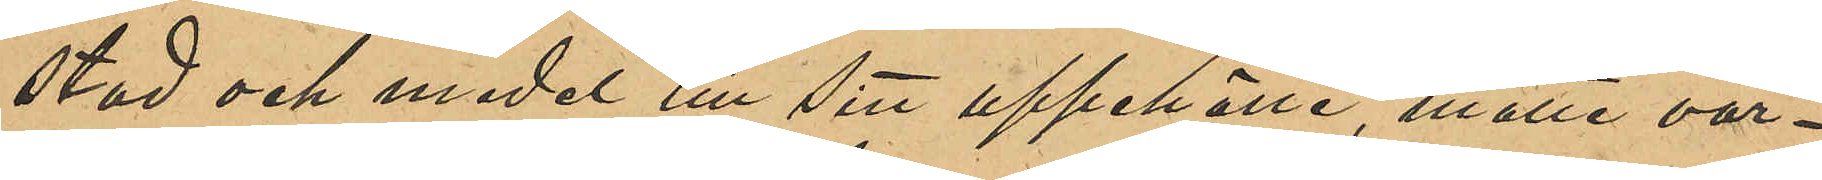stad och medel till sitt uppehälle, måtte var¬
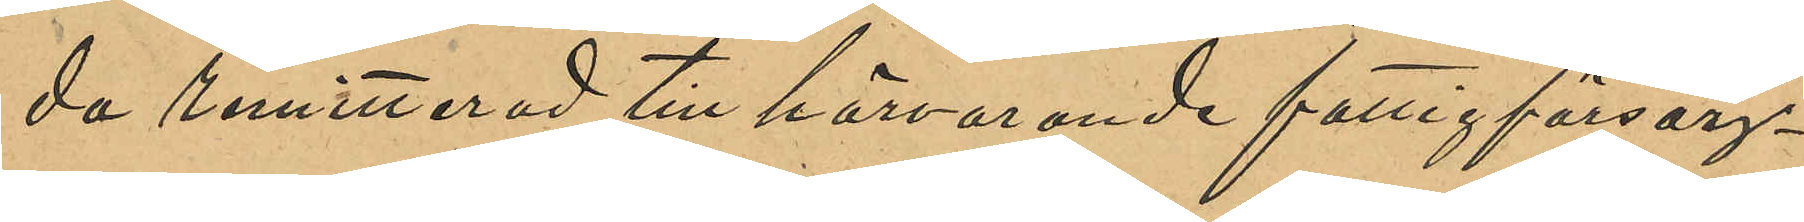da remitterad till härvarande fattigförsörj¬
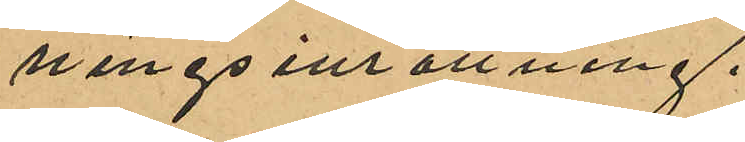ningsinrättning.
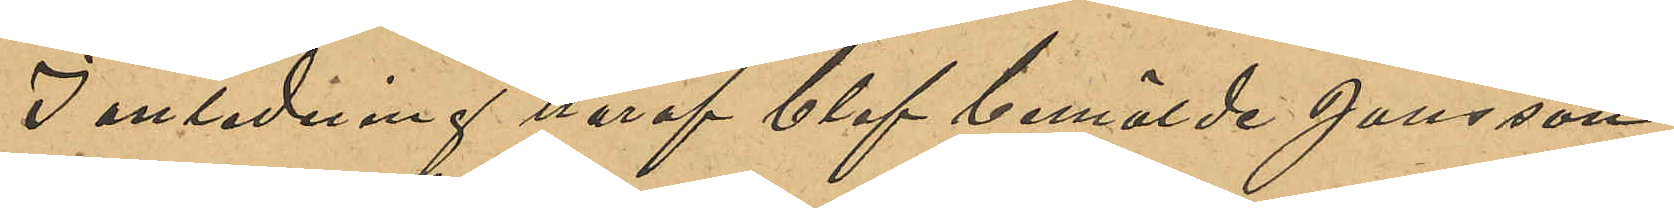I anledning häraf blef bemälde Jönsson
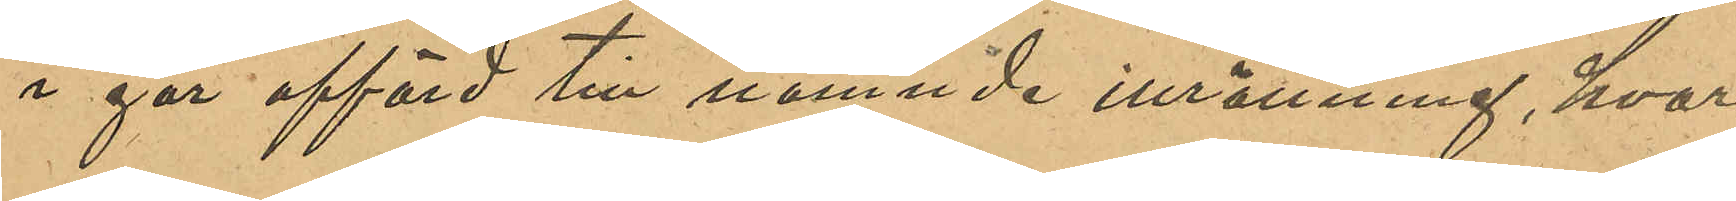i går afförd till nämnde inrättning, hvar¬
